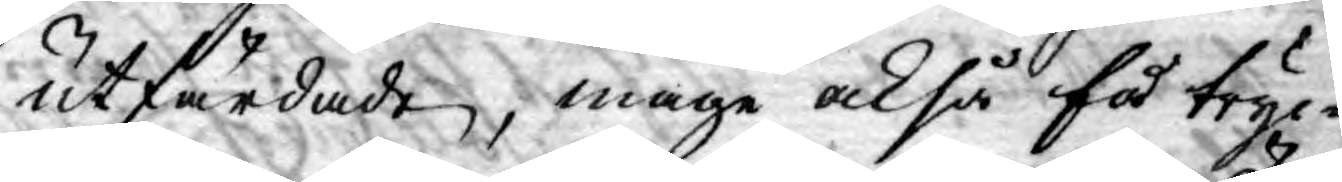utfärdade, måge också få tryc¬
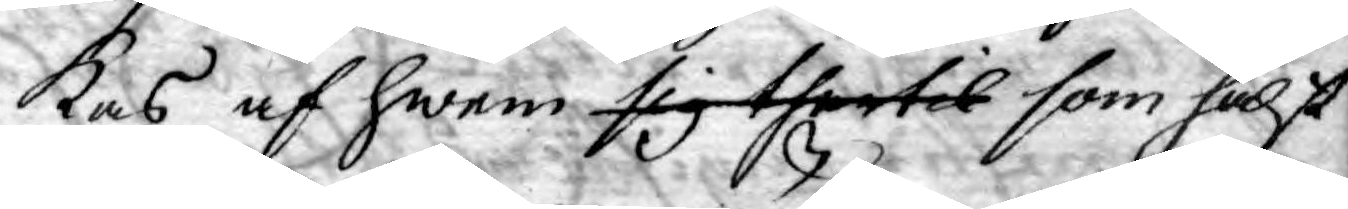kas af hwem sig thertil som hälst
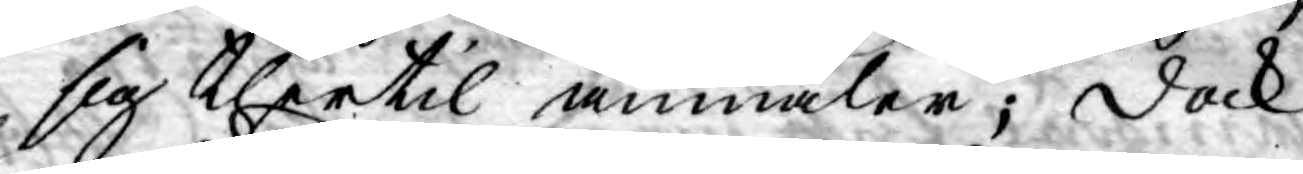sig thertil anmäler; dock
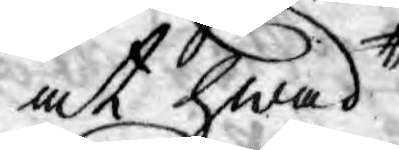at hwad
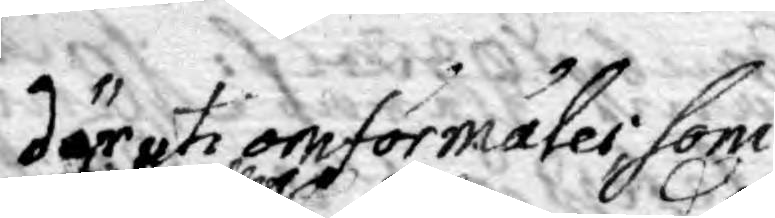däruti omförmäles som
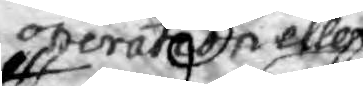operation eller
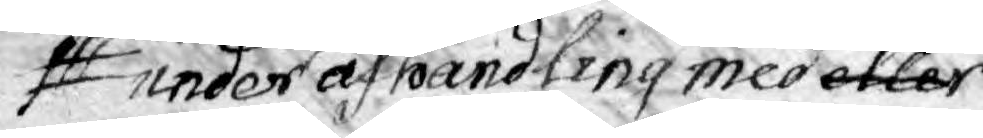under afhandling med eller
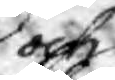och
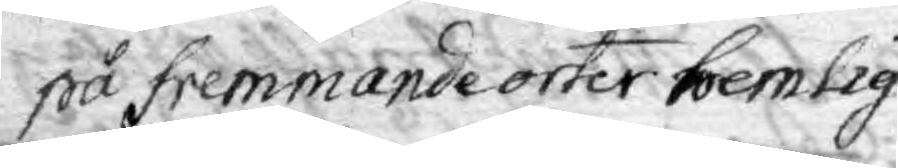på fremmande orter hemlig¬
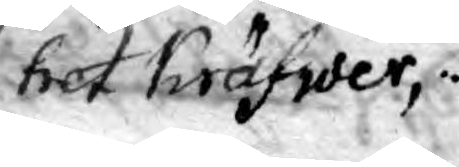het kräfwer,
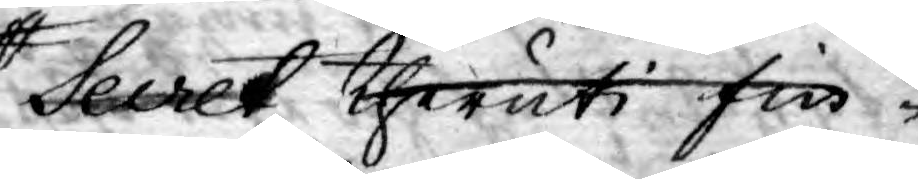Secret theruti fin¬
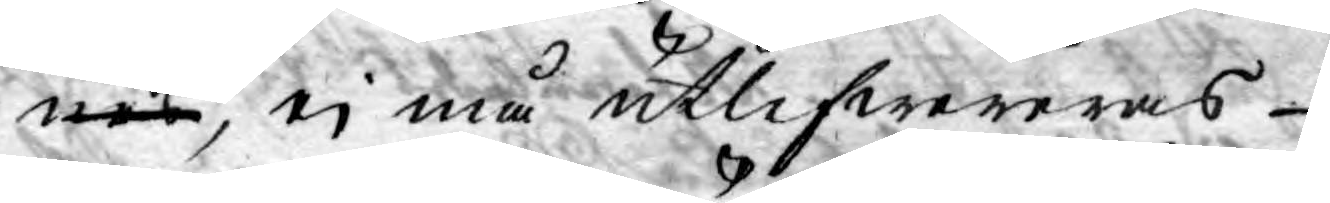nes, ej må utlifwereras
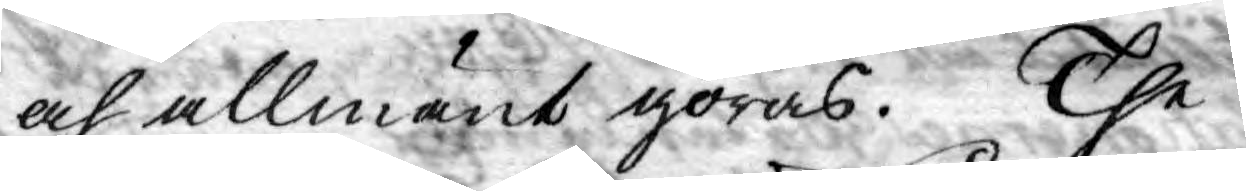och allmänt göras. The
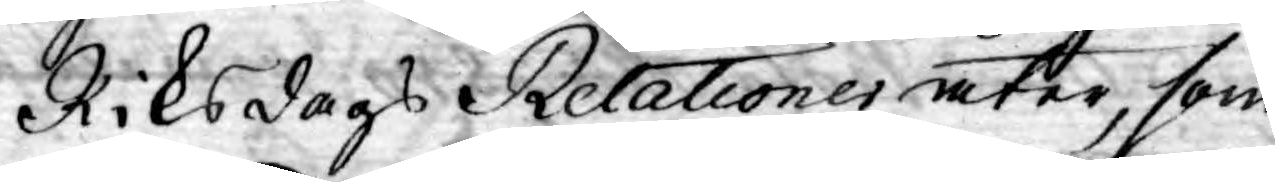Riksdags Relationer åter, som
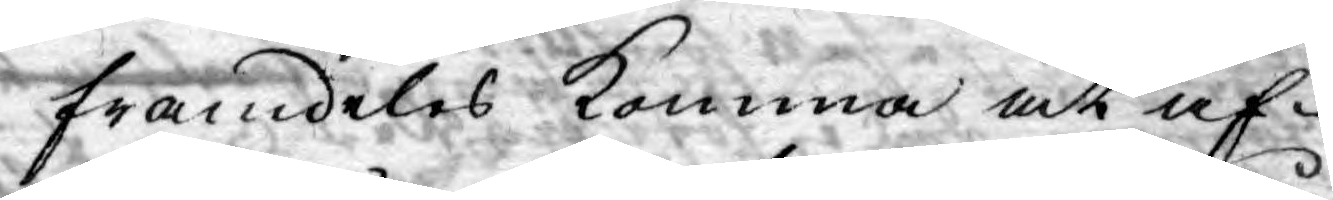framdeles komma at af¬
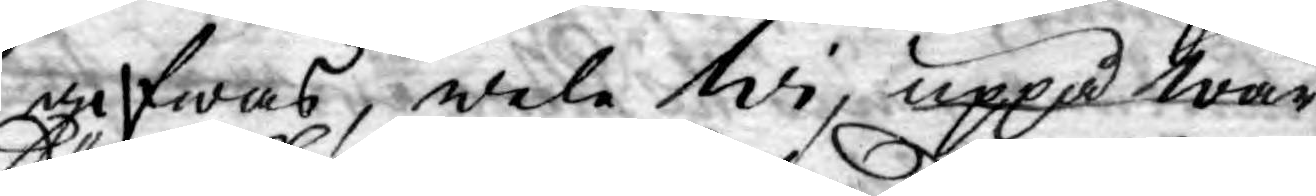gifwas, wele Wi, uppå Wår
